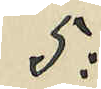5:
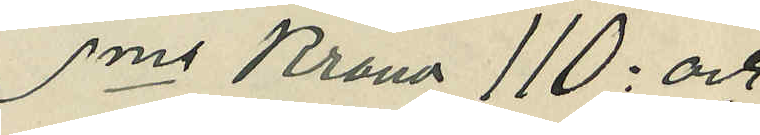Sma Kronor 110: och
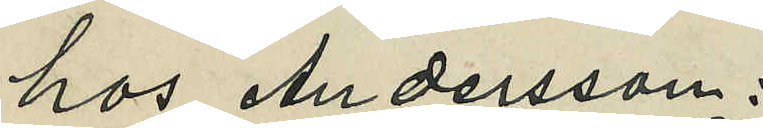hos Andersson:
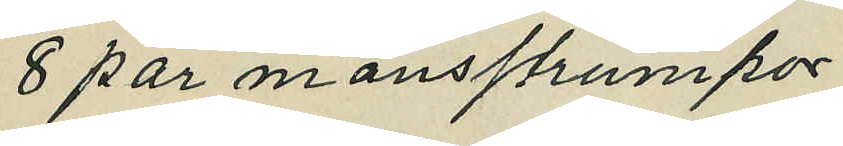8 par mansstrumpor
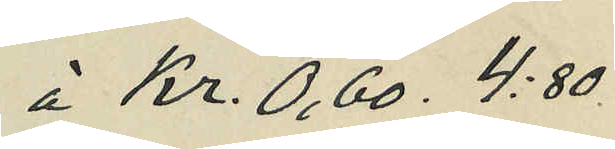á Kr. 0,60 4:80.
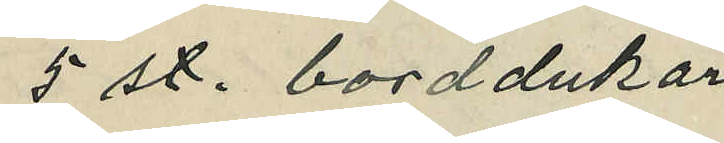5 st. borddukar
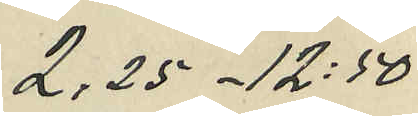2,25 - 12:50
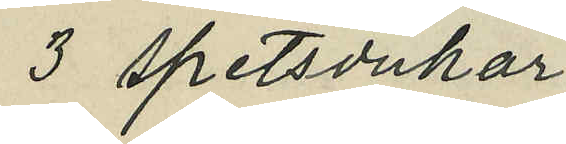3 spetsdukar
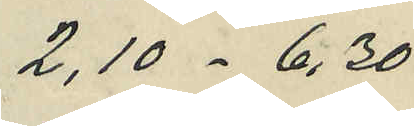2,10 - 6,30
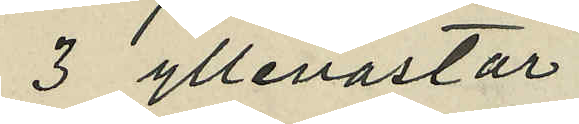3 yllevästar
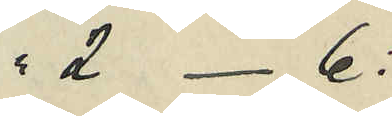 2 - 6:
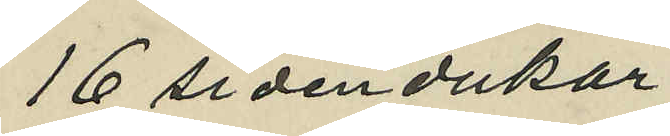16 sidendukar
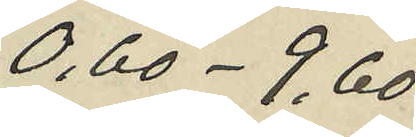0,60 - 9,60
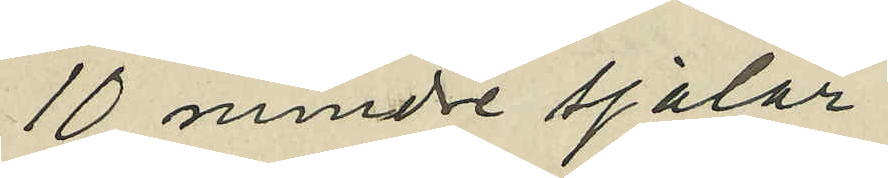10 mindre sjalar
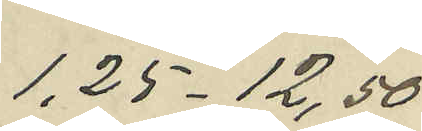1,25 - 12,50
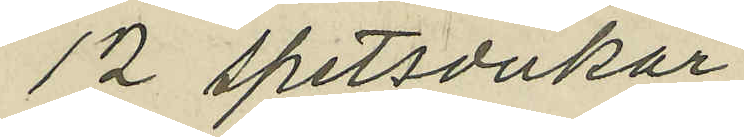12 spetsdukar
